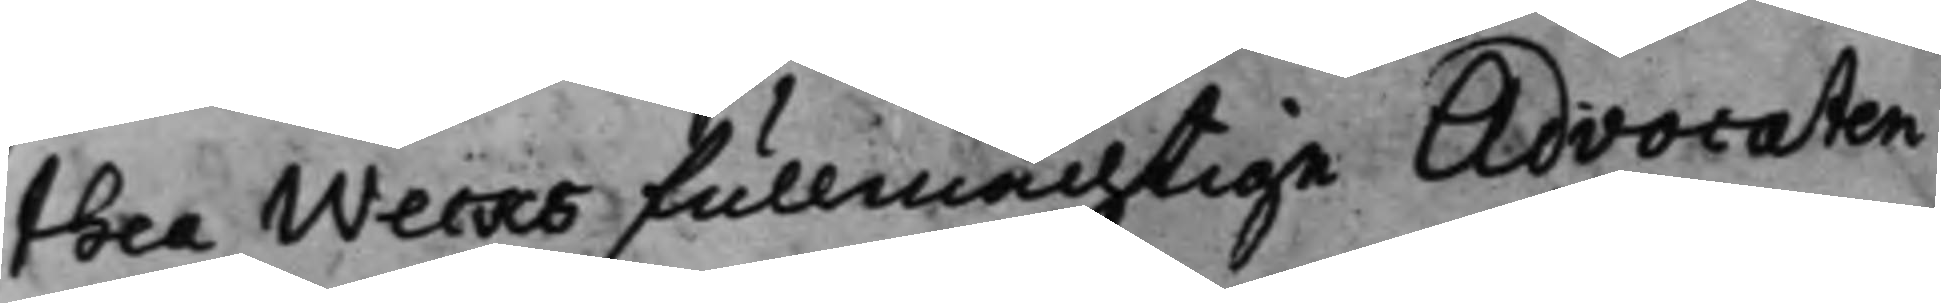thea Wecks Fullmächtige Advocaten
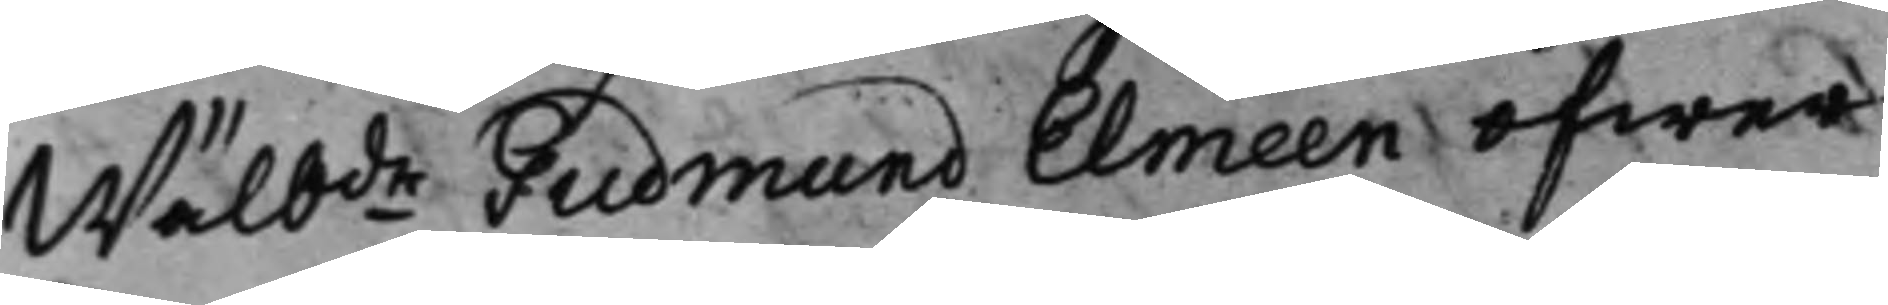Wälbde Gudmund Elmeen öfwer
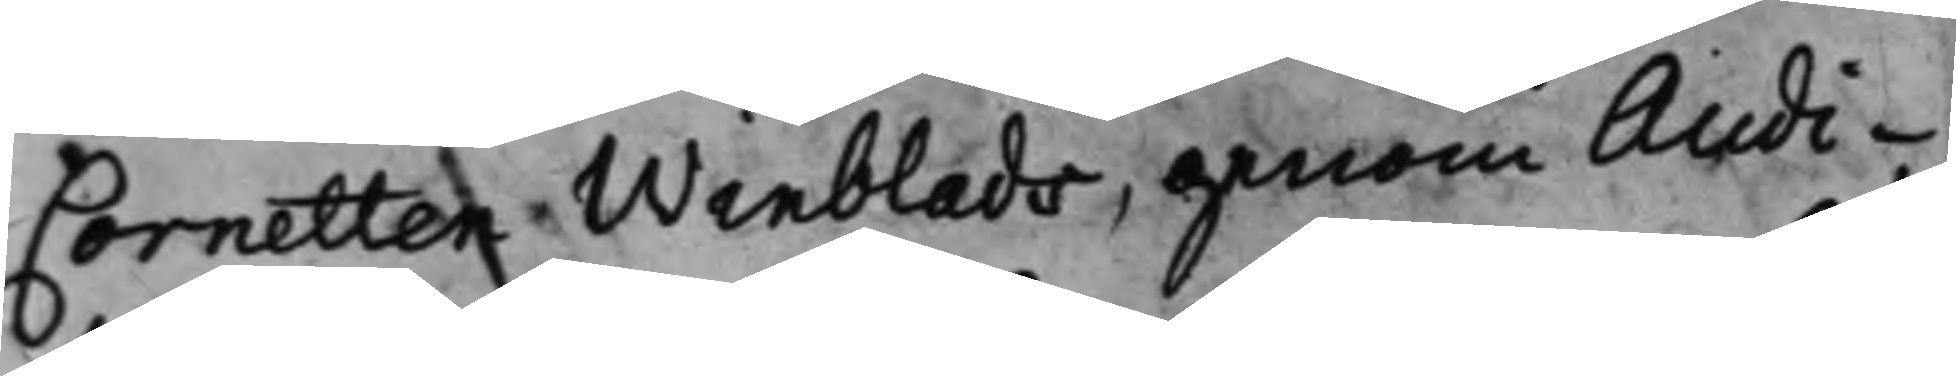Cornetten Winblads, genom Audi¬
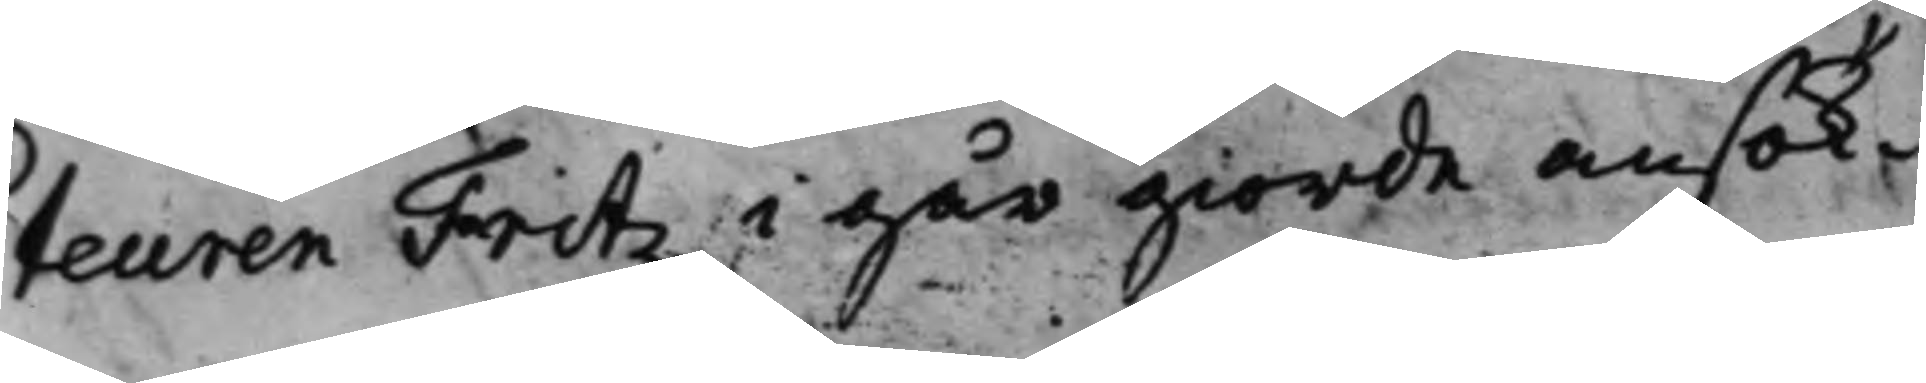teuren Fritz i går giorde ansök¬
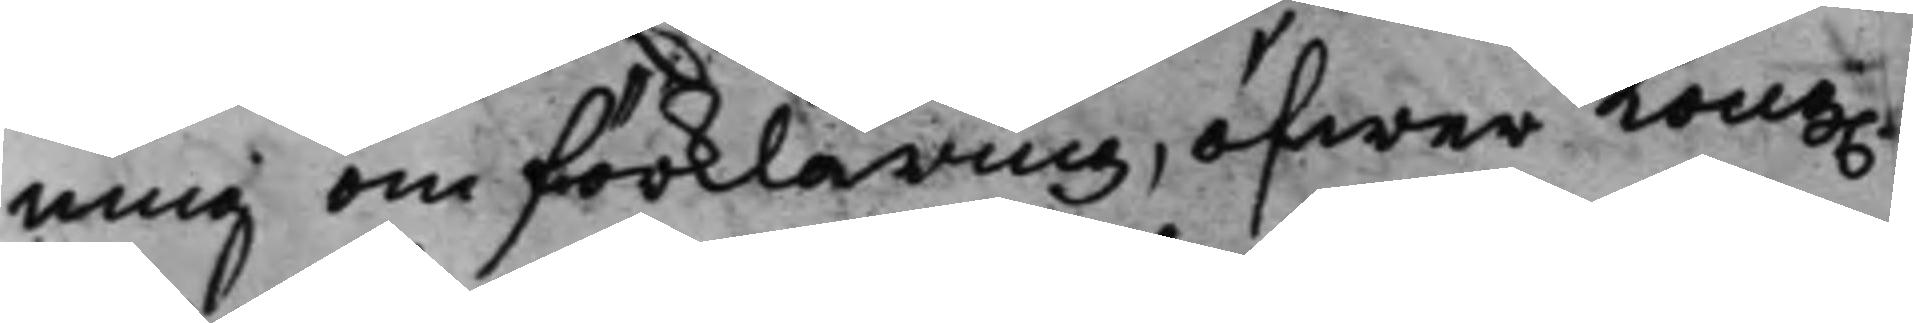ning om förklaring, öfwer Kong.
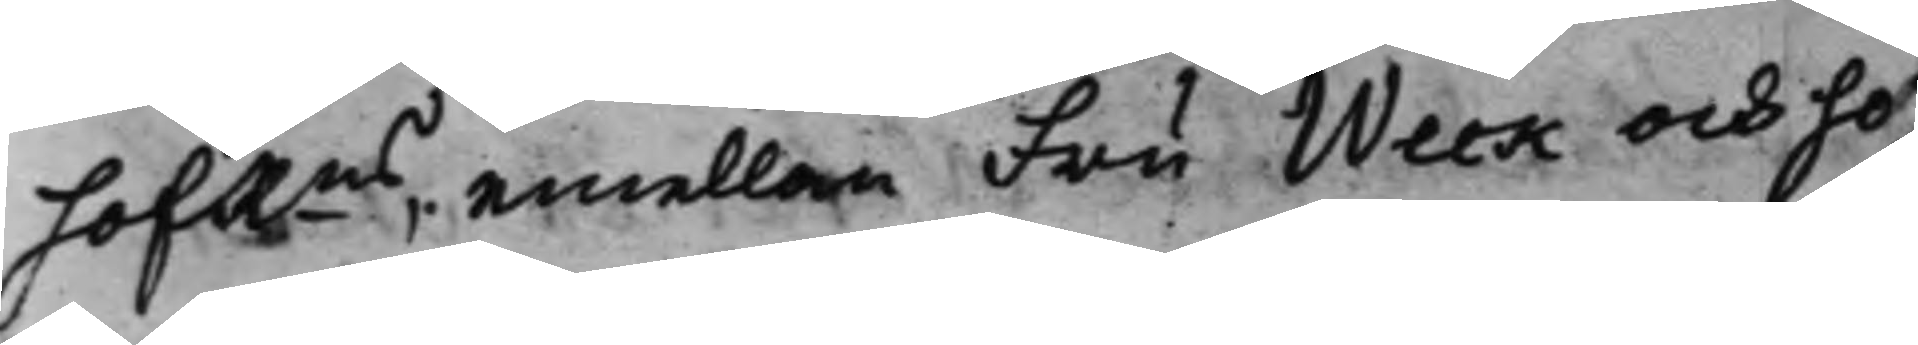hofRns, emellan Fru Weck och ho¬
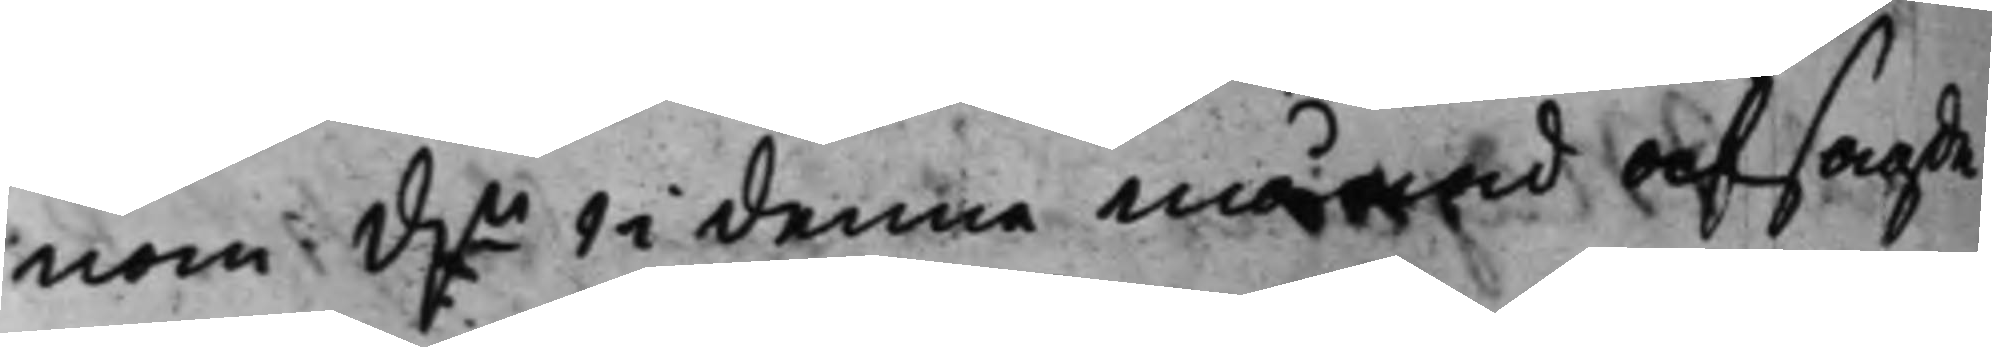nom d.n 1 i denna månad afsagde
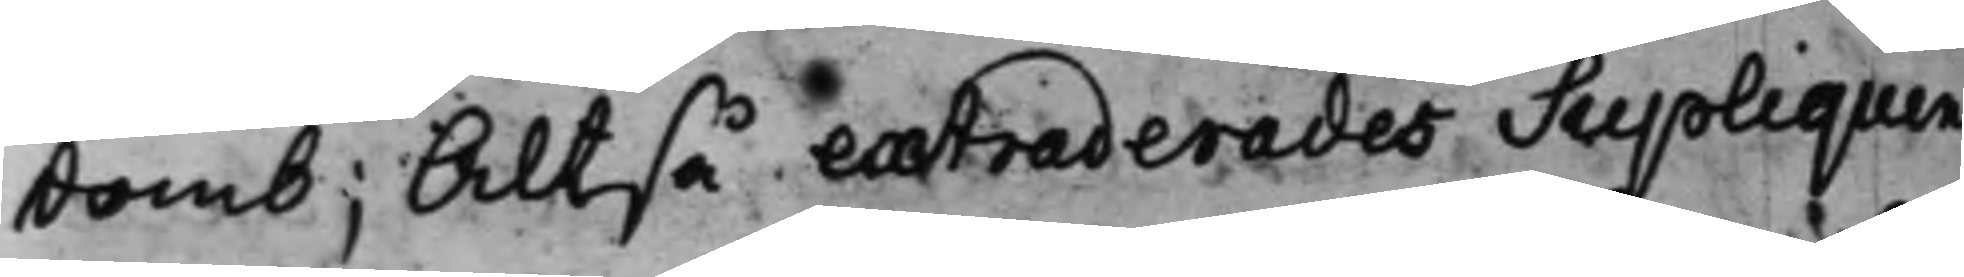Domb; Altså extraderades Supliquen
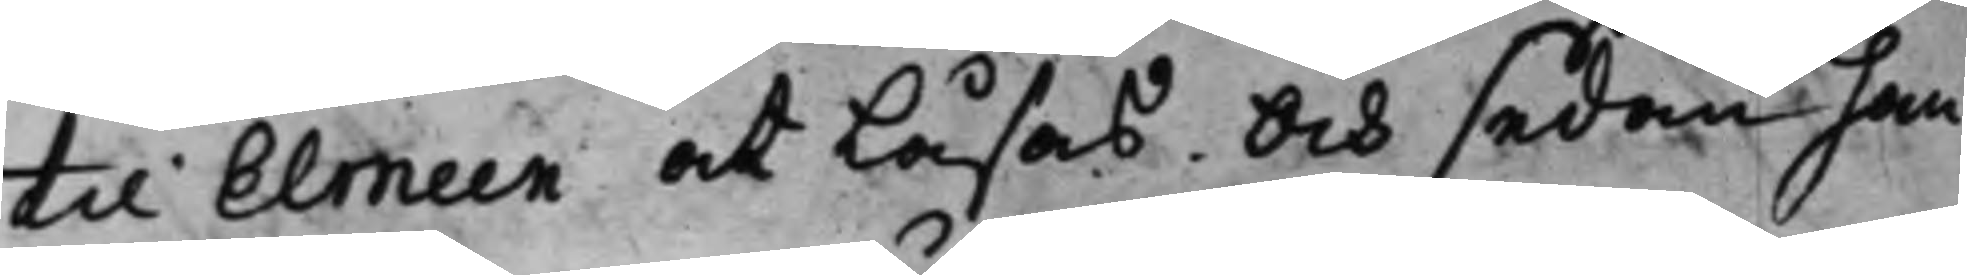til Elmeen at Läsas. Och sedan han
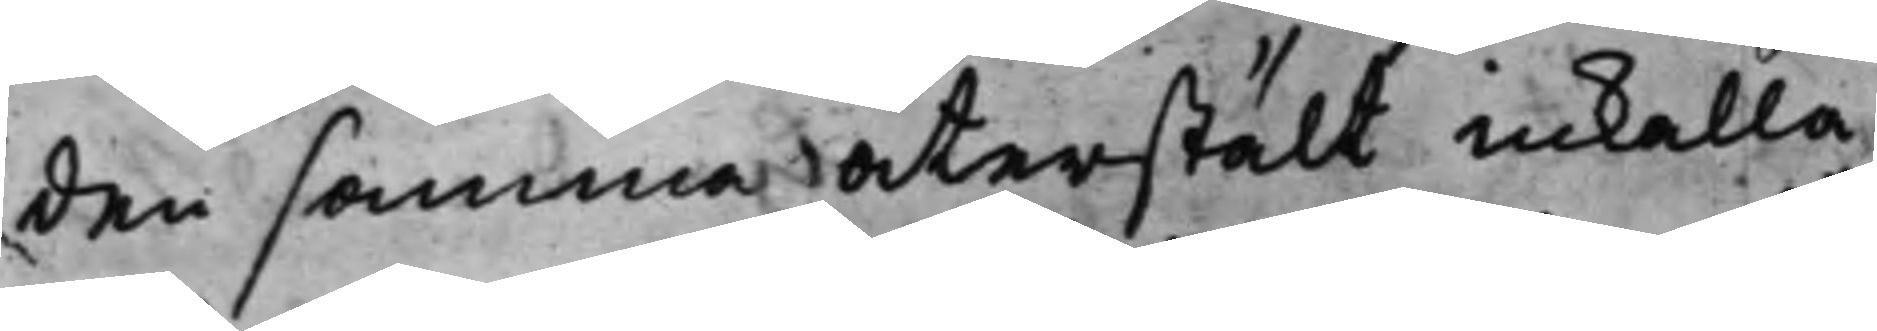den samma återstält inkalla¬
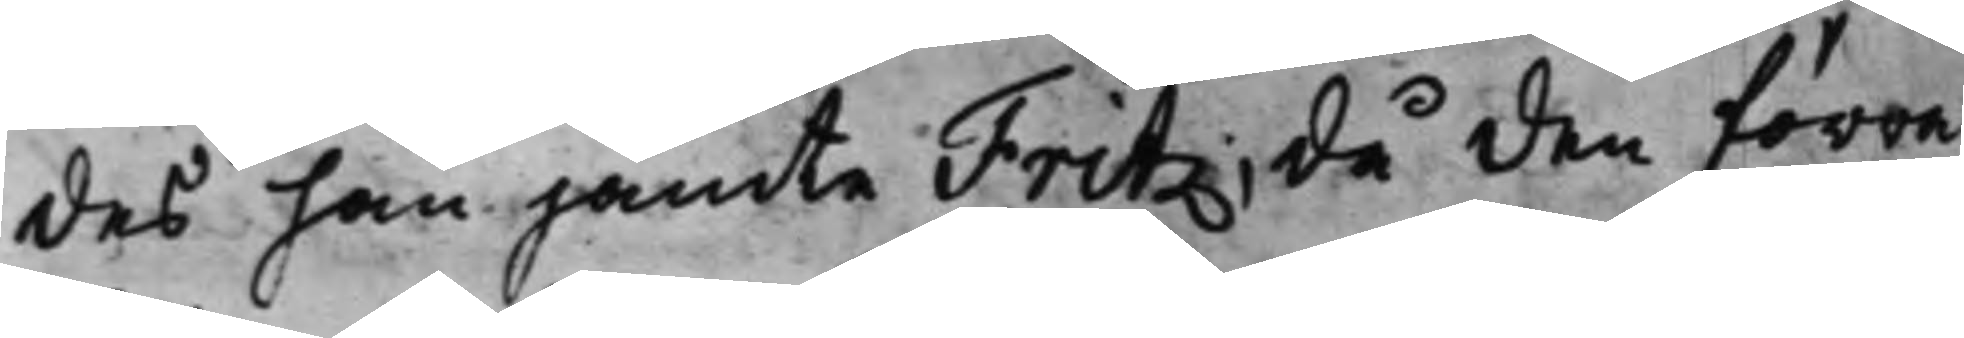des han jämte Fritz; då den förra
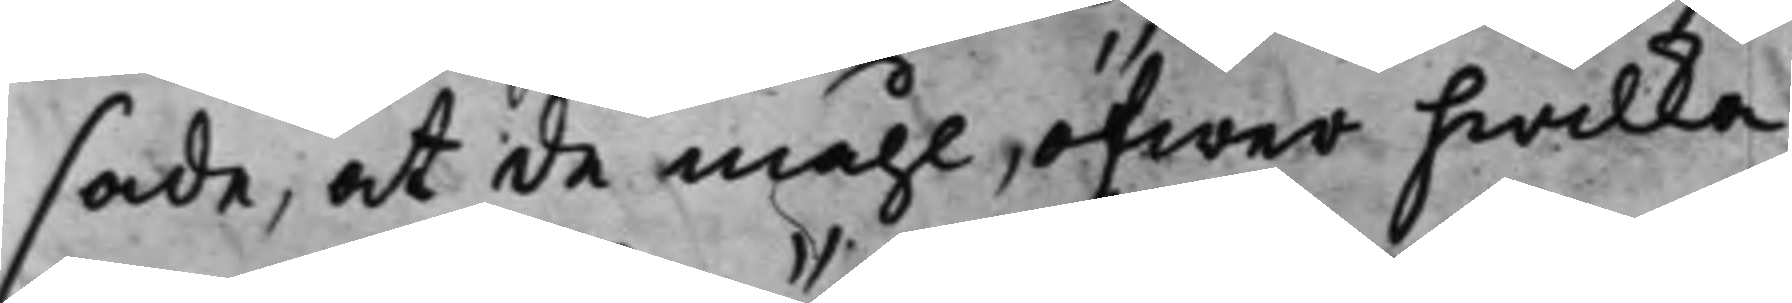sade, at de måhl, öfwer hwilka
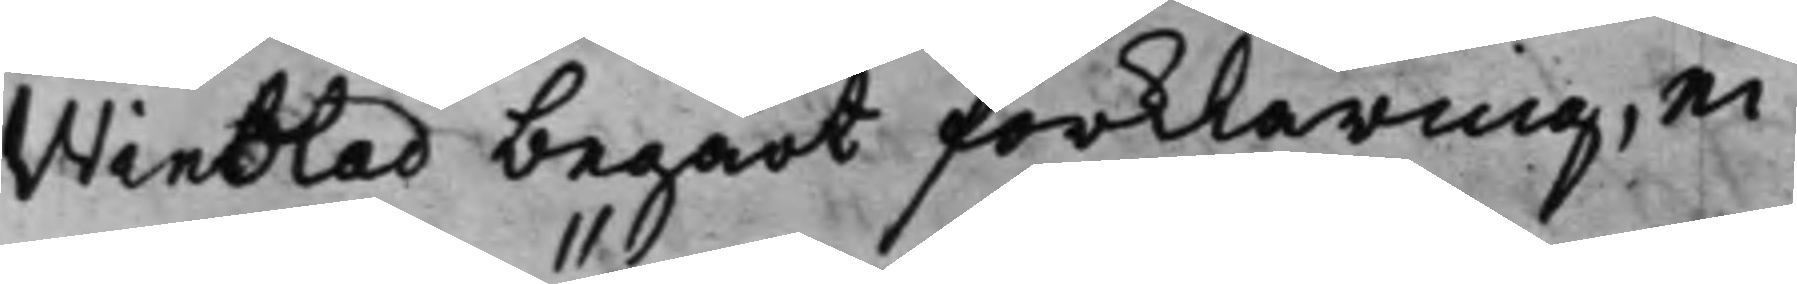Winblad begärt förklaring, ei
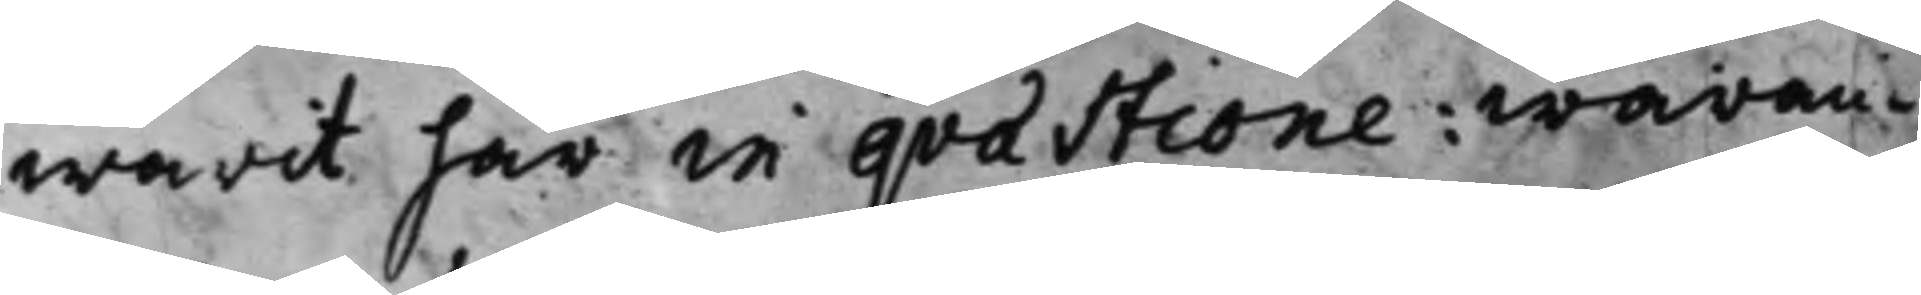warit här in qvaestione: waran¬
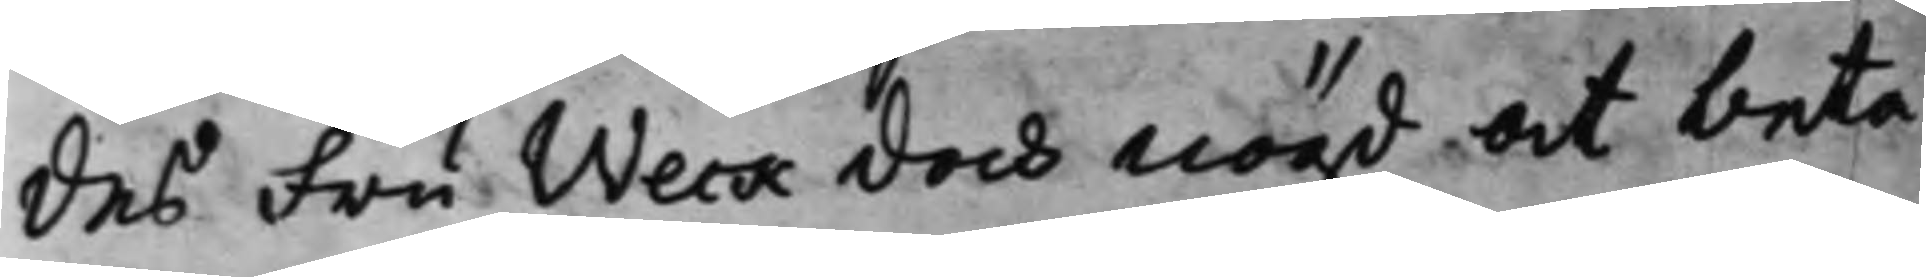des Fru Weck dock nögd at beta¬
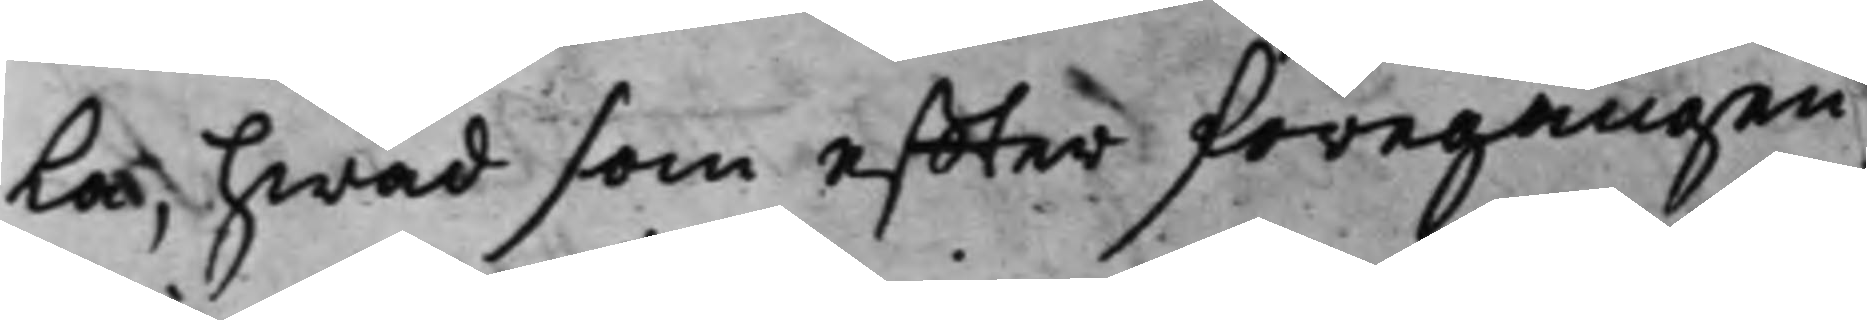la, hwad som effter föregången
